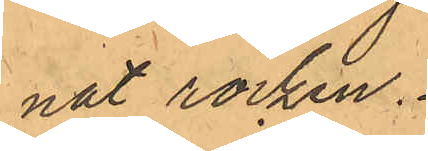nat rocken.
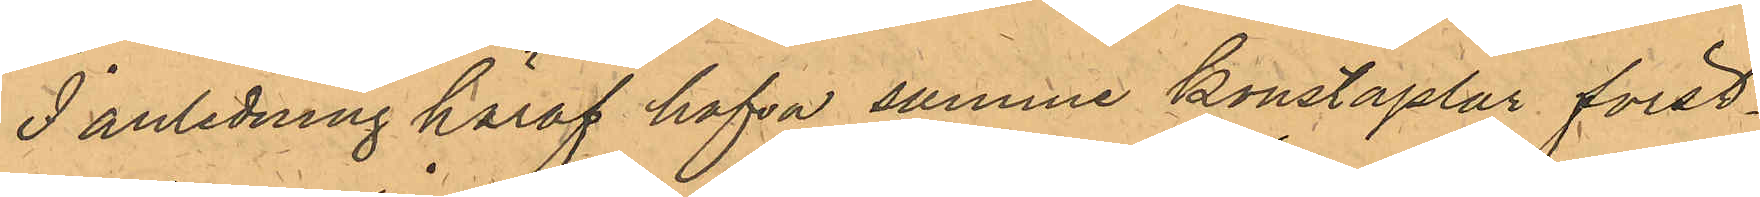I anledning häraf hafva samme konstaplar först¬
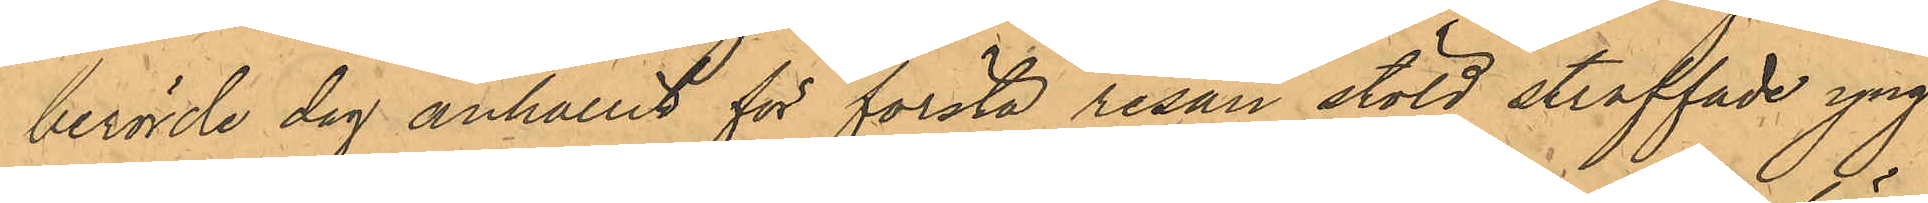berörde dag anhållit för första resan stöld straffade yng¬
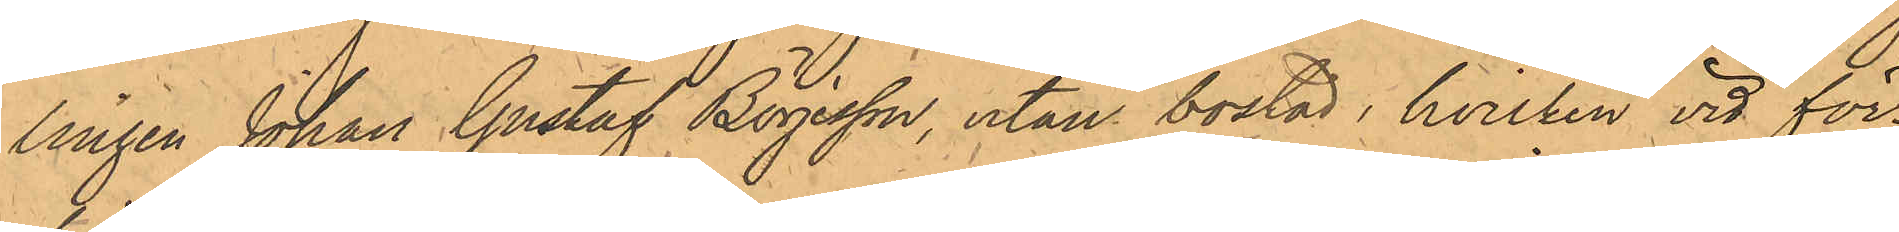lingen Johan Gustaf Börjesson, utan bostad, hvilken vid för¬
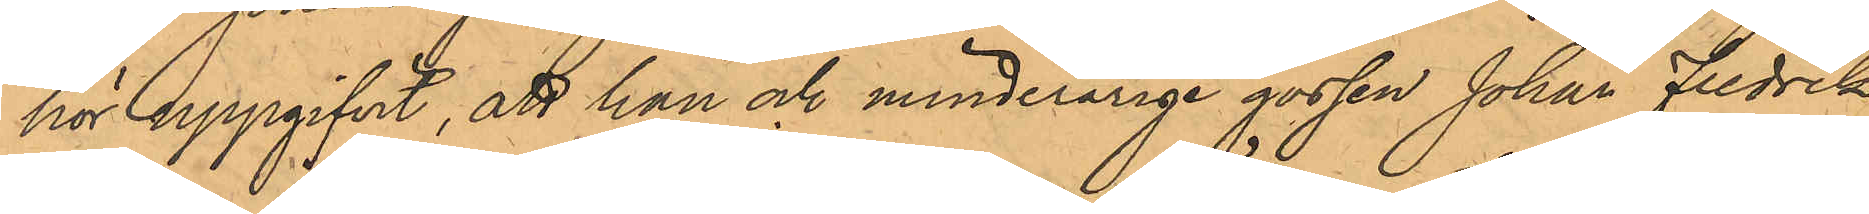hör uppgifvit, att han och minderårige gossen Johan Fredrik
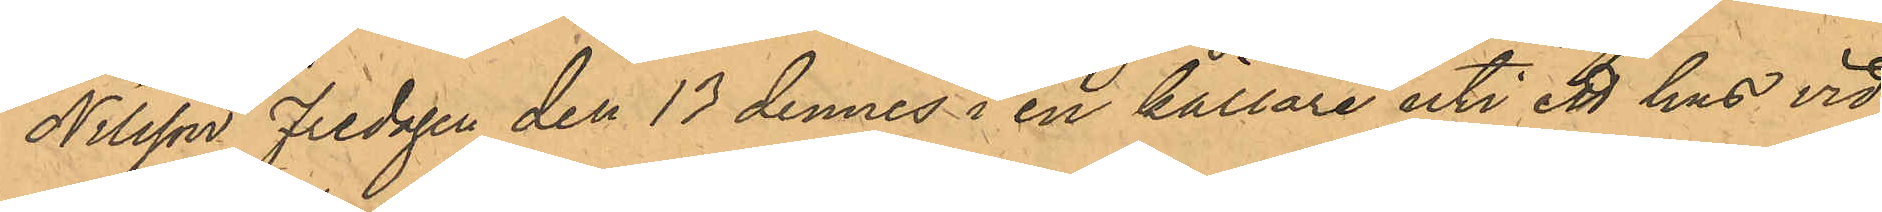Nilsson Fredagen den 13 dennes i en källare uti ett hus vid
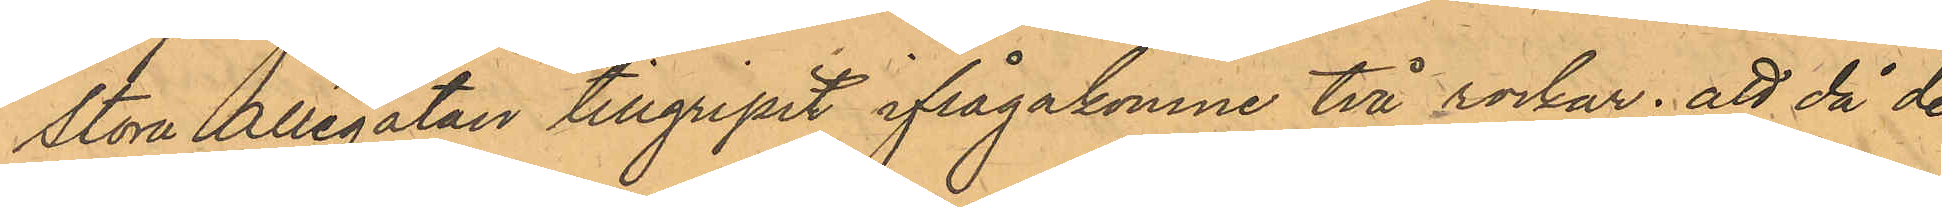Stora Allégatan tillgripit ifrågakomne två rockar; att då de
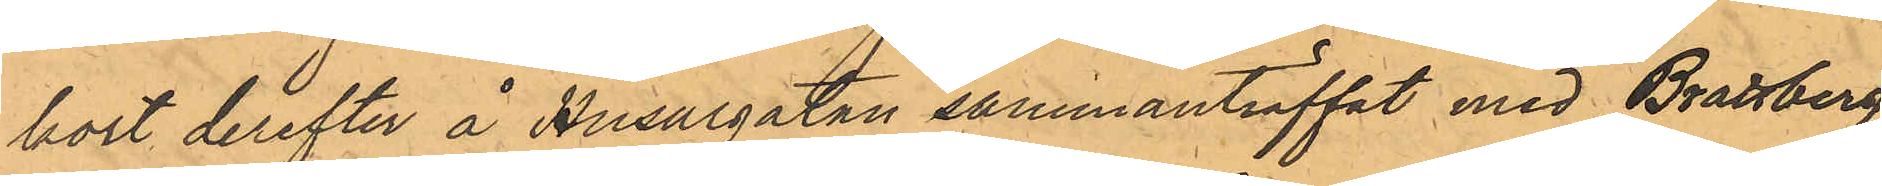kort derefter å Husargatan sammanträffat med Brattberg,
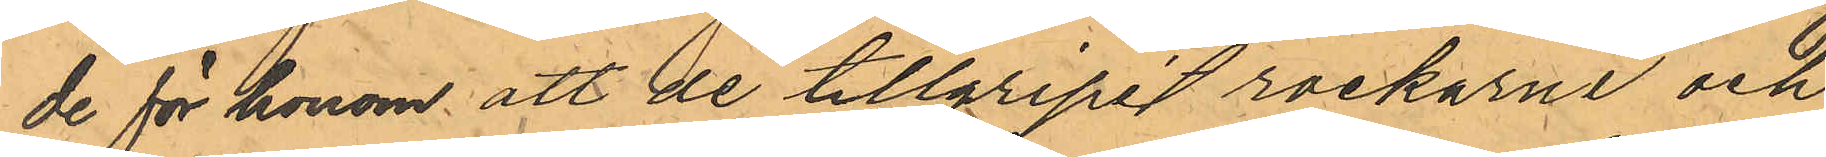de för honom att de tillgripit rockarna och
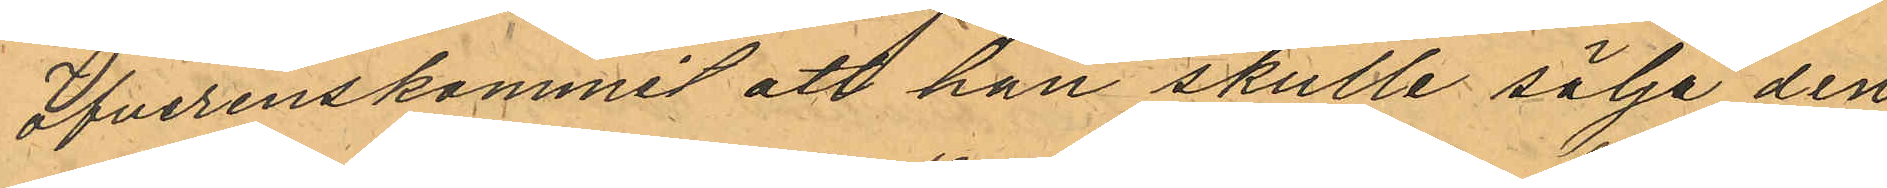öfverenskommit att han skulle sälja den
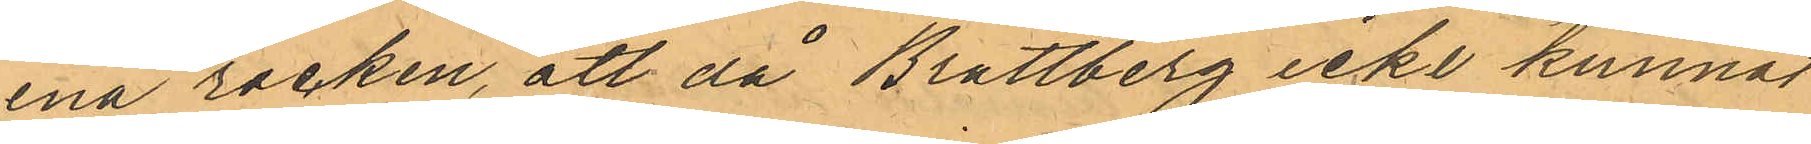ena rocken, att då Brattberg icke kunnat
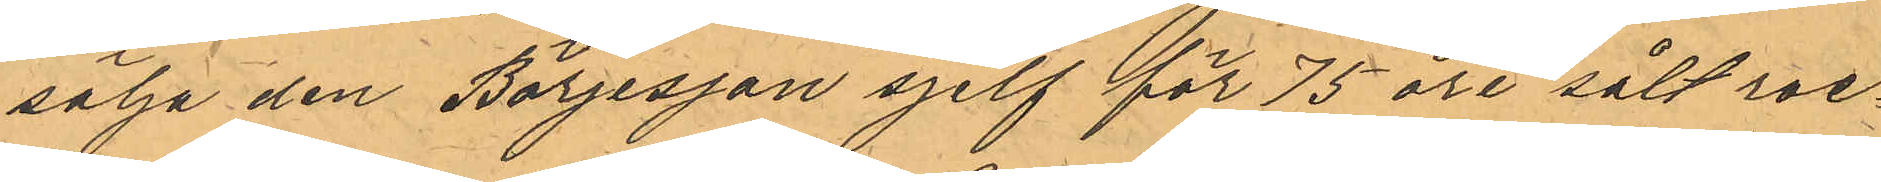sälja den Börjessön sjelf för 75 öre sålt roc¬
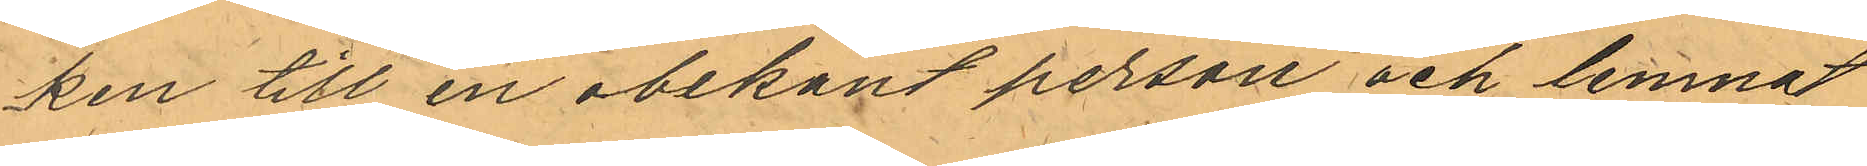ken till en obekant person och lemnat
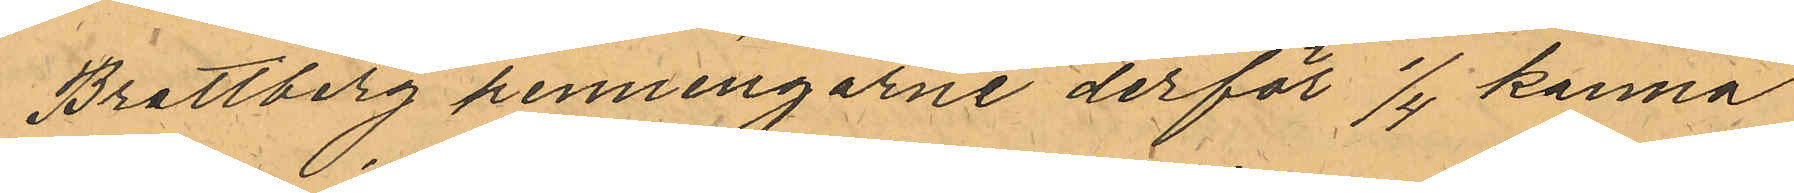Brattberg penningarne derför 1/4 kanna
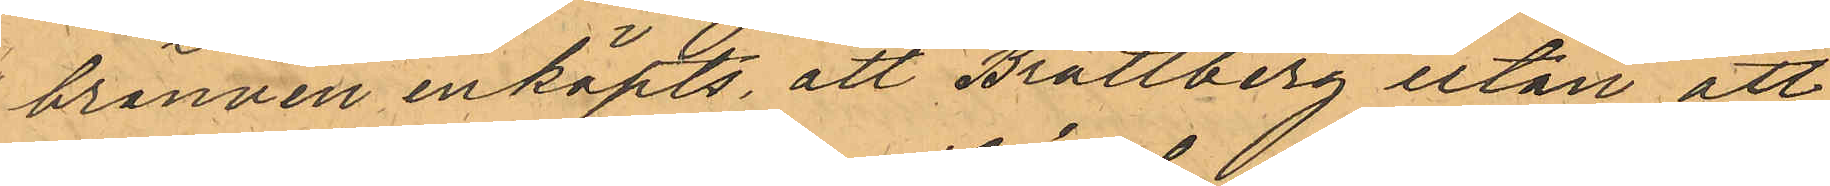bränvin inköpts, att Brattberg utan att
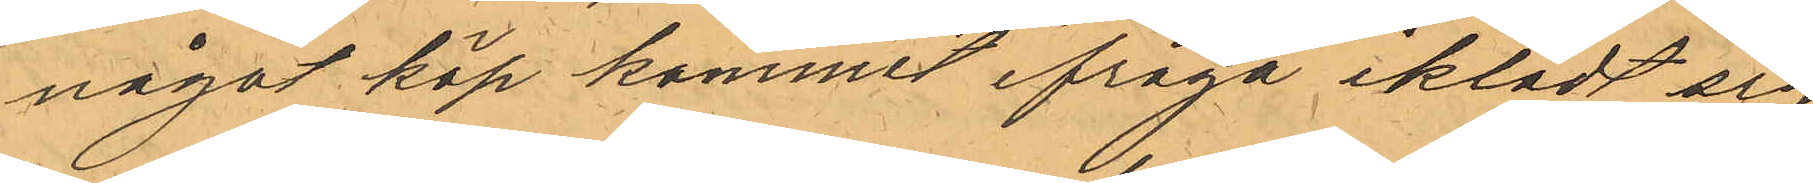något köp kommit ifråga iklädt sig
